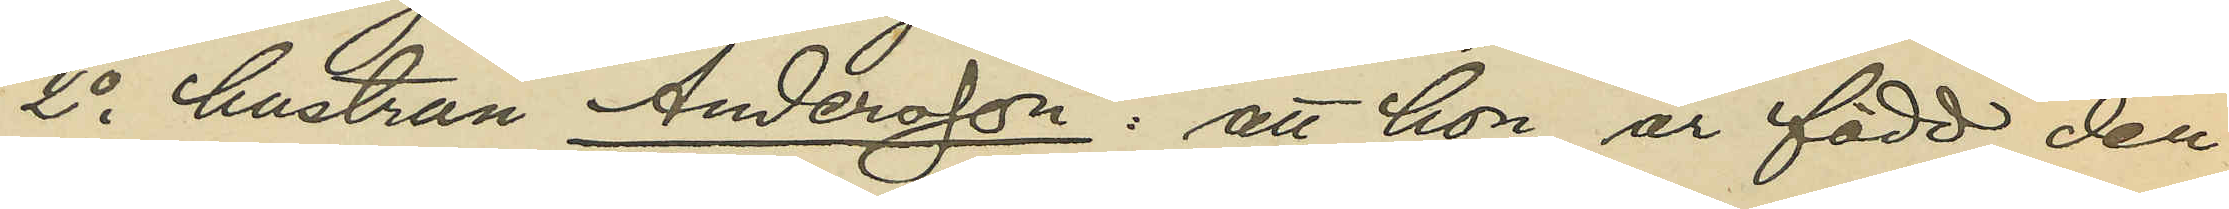2o hustrun Andersson: att hon är född den
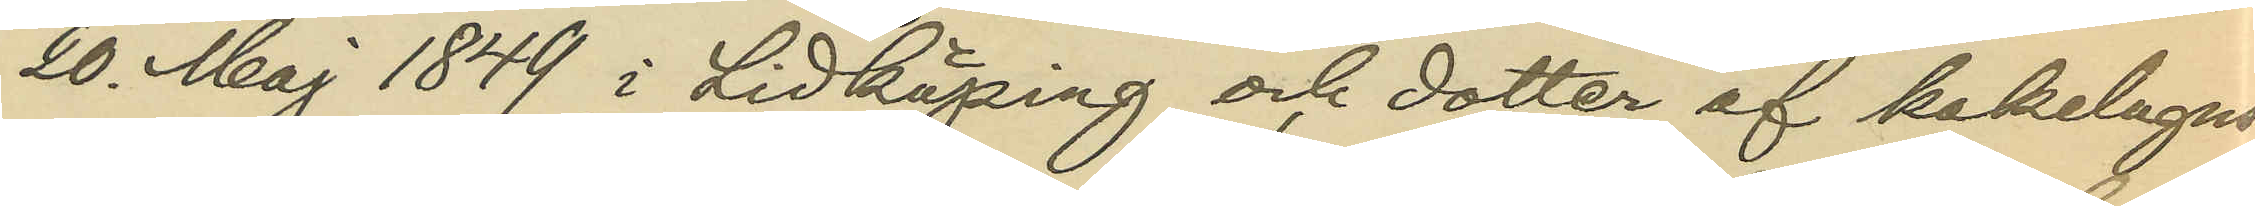20. Maj 1849 i Lidköping och dotter af kakelugns¬
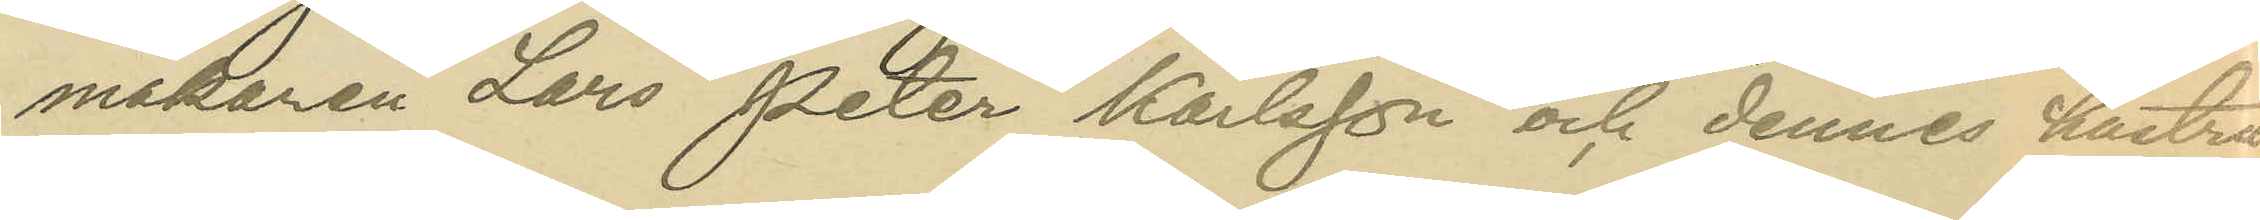makaren Lars Peter Karlsson och dennes hustru
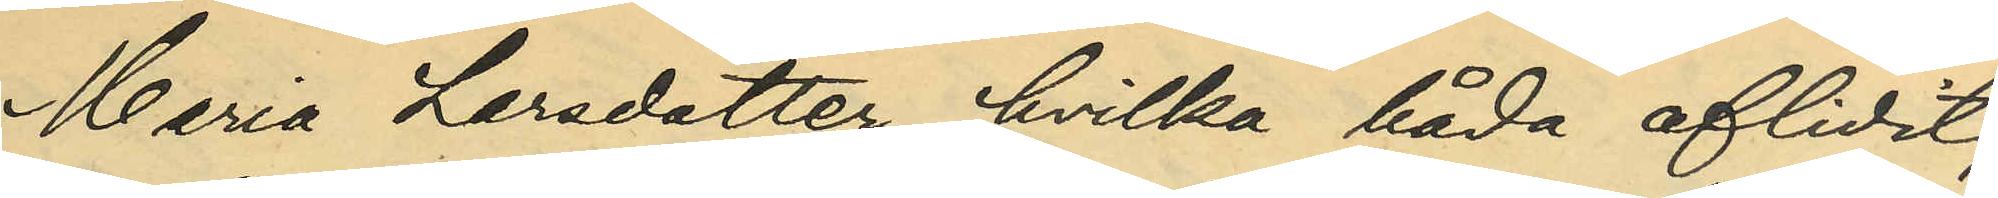Maria Larsdotter, hvilka båda aflidit;
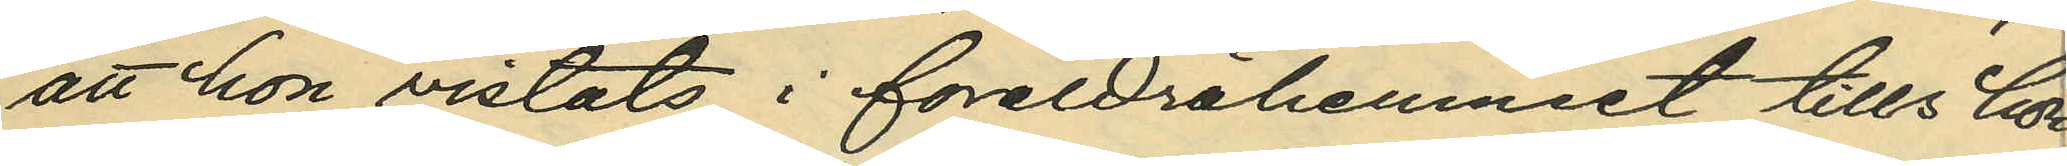att hon vistats i föräldrahemmet tills hon
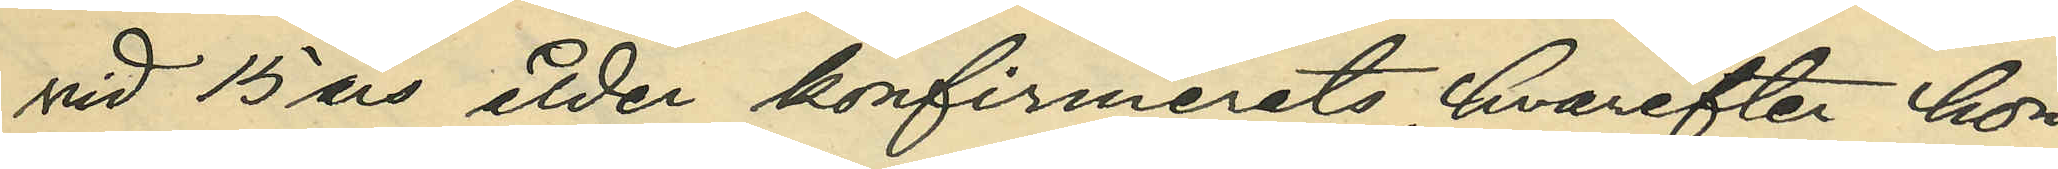vid 15 års ålder konfirmerats, hvarefter hon
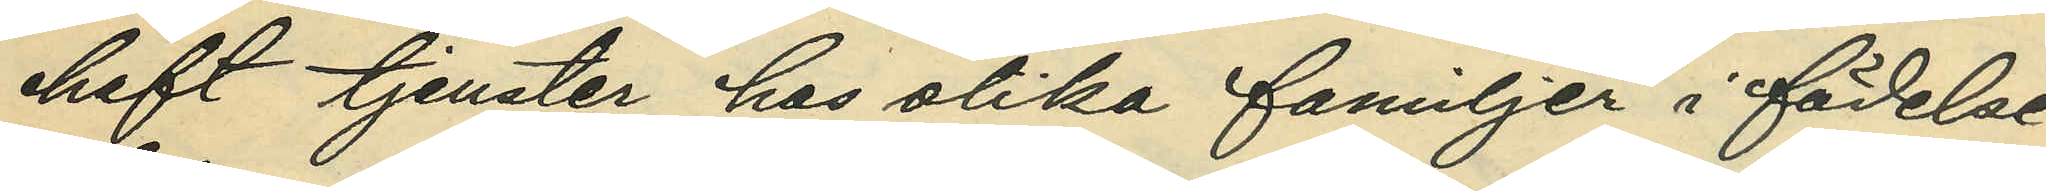haft tjenster hos olika familjer i födelse¬
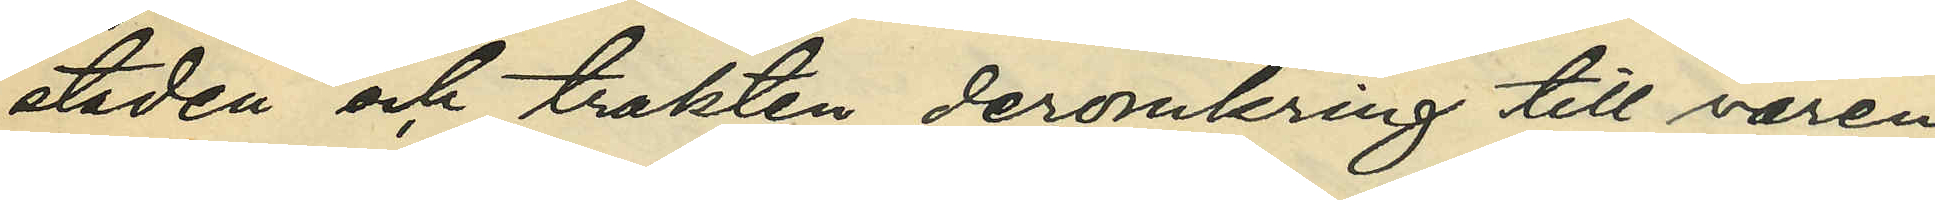staden och trakten deromkring till våren
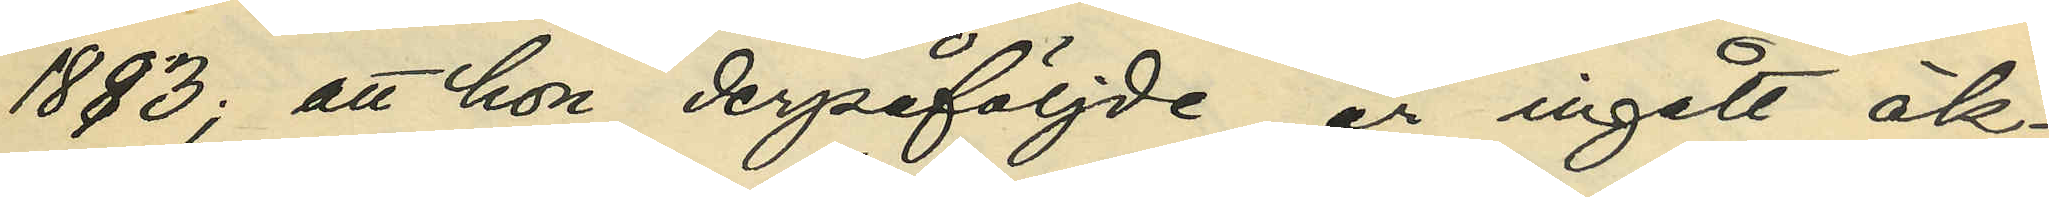1883; att hon derpåföljde år ingått äk¬
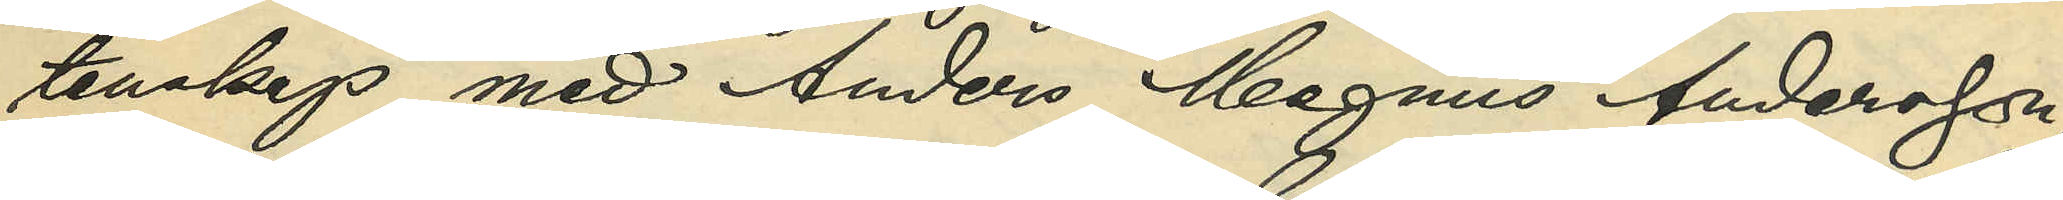tenskap med Anders Magnus Andersson
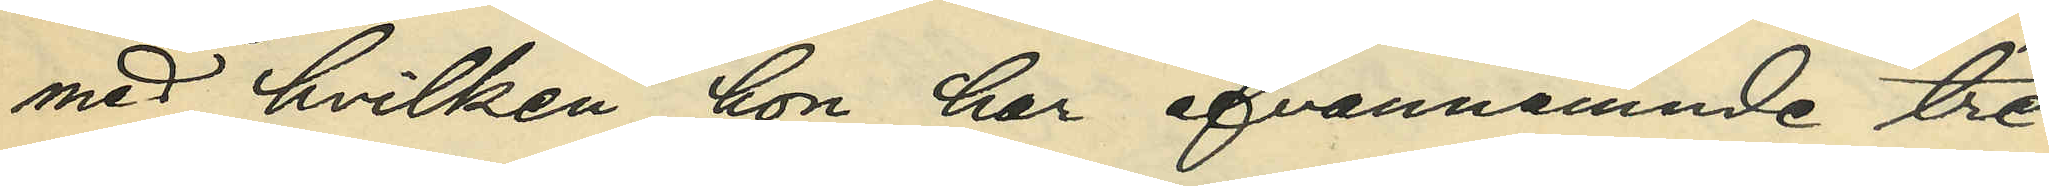med hvilken hon har ofvannämnde tre
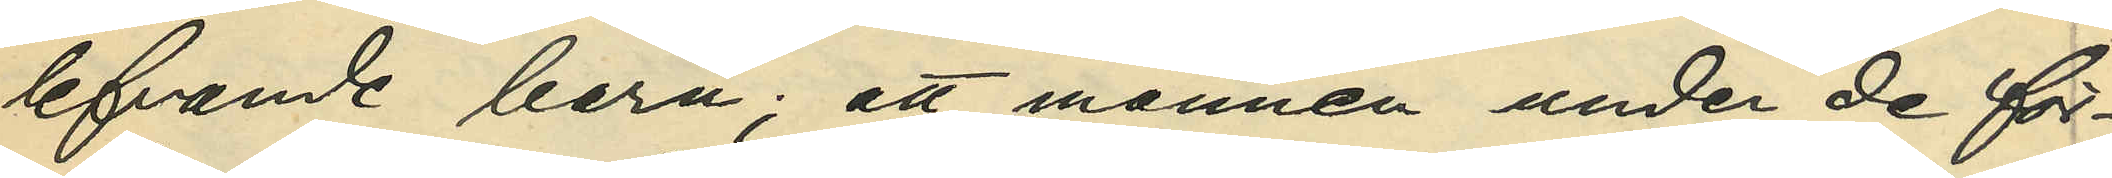lefvande barn; att mannen under de för¬
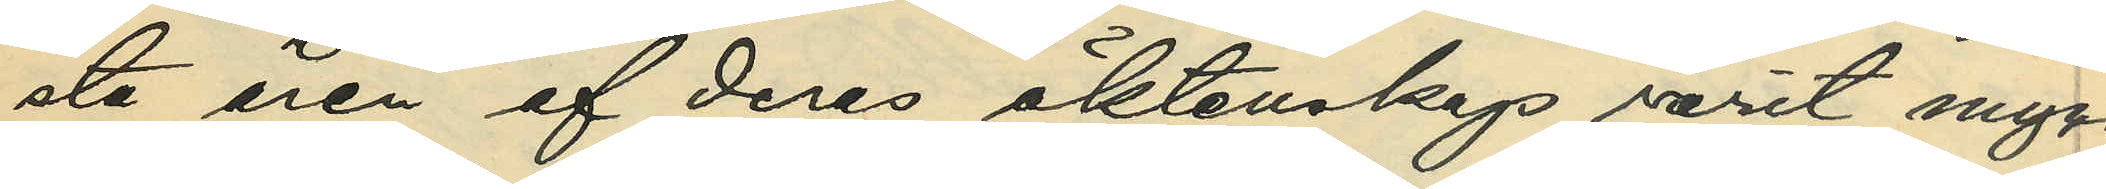sta åren af deras äktenskap varit myc¬
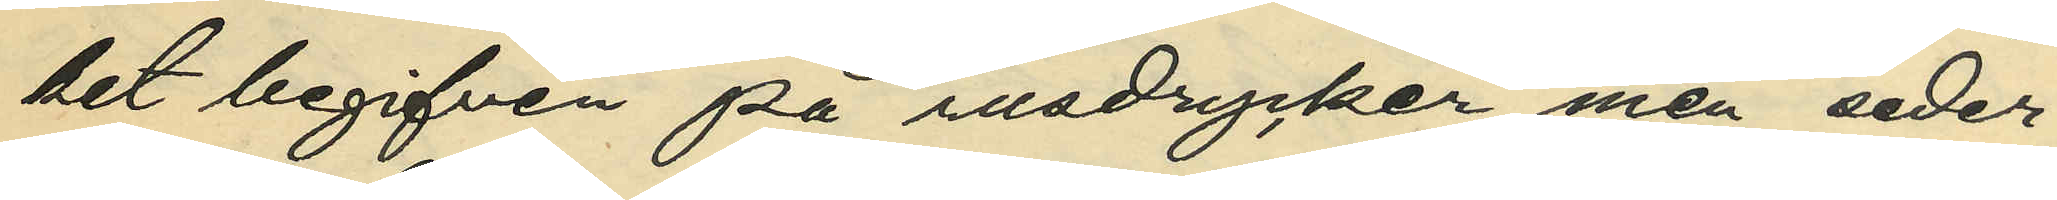ket begifven på rusdrycker, men seder¬
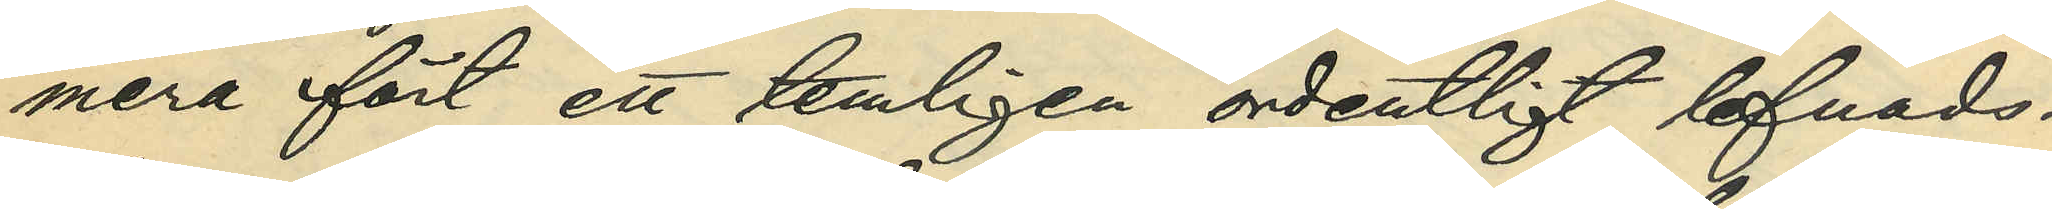mera fört ett tämligen ordentligt lefnads¬
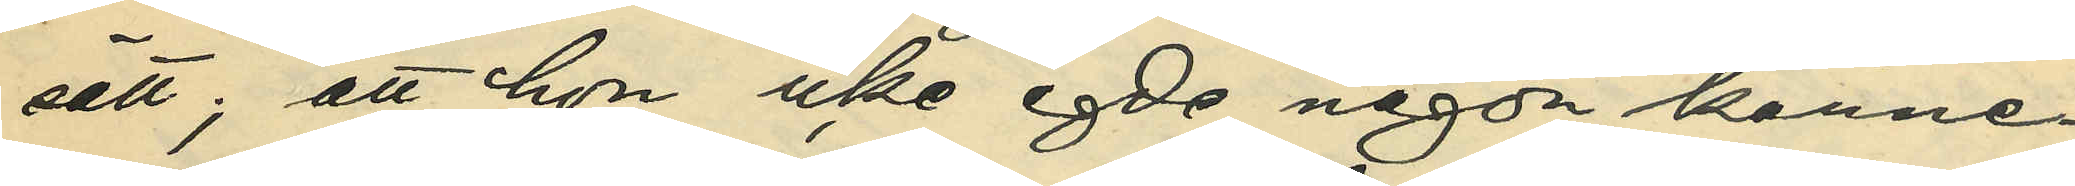sätt; att hon icke egde någon känne¬
